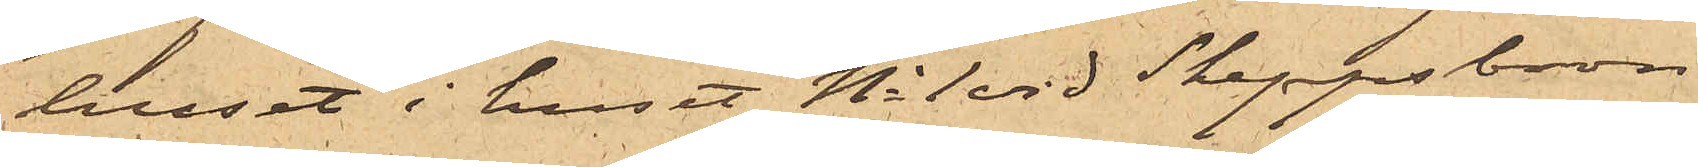huset i huset No 1 vid Skeppsbron
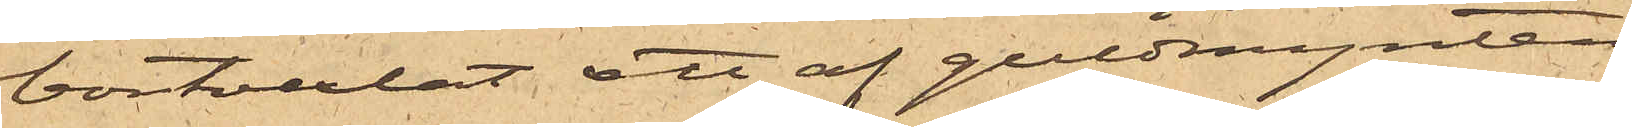bortvexlat ett af guldmynten
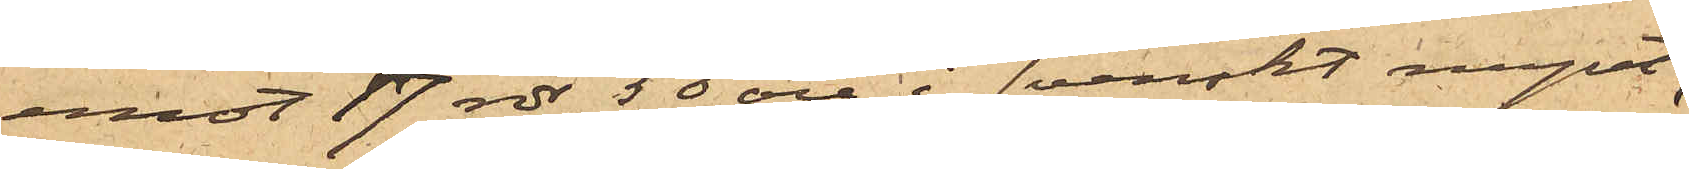mot 17 rdr 50 öre i svenskt mynt,
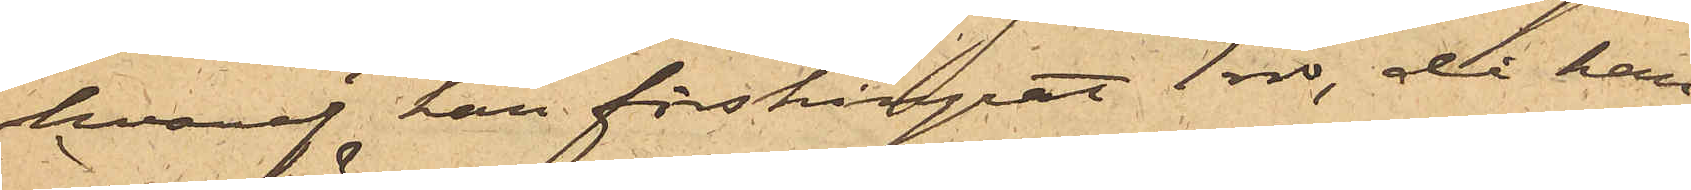hvaraf han förskingrat 1 rdr, då han
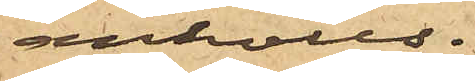anhölls.
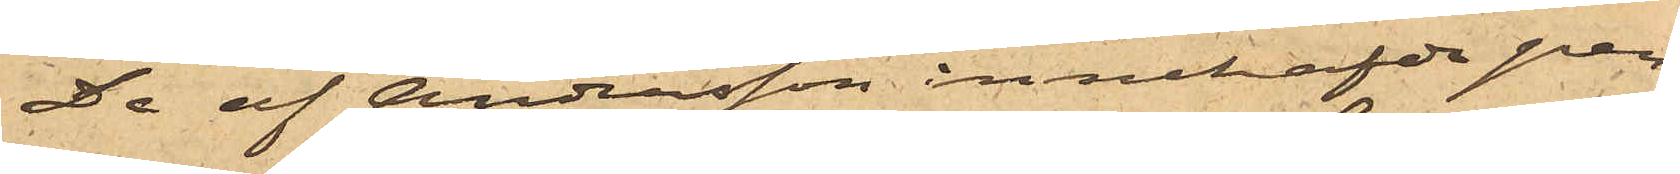De af Andersson innehafde pen¬
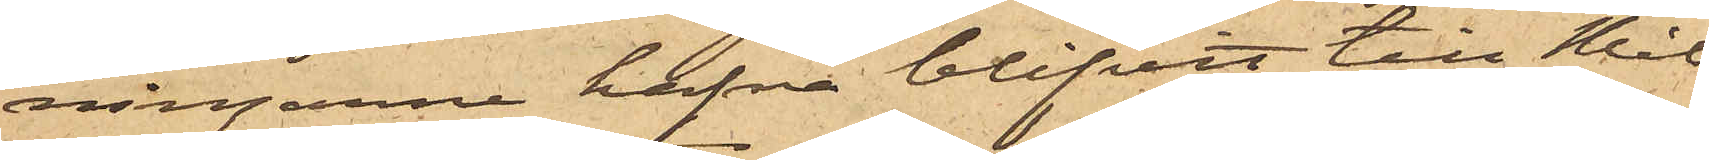ningarne hafva blifvit till Mål¬
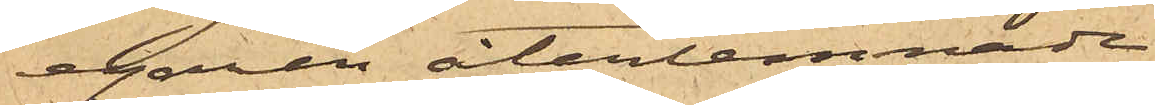egaren återlemnade.
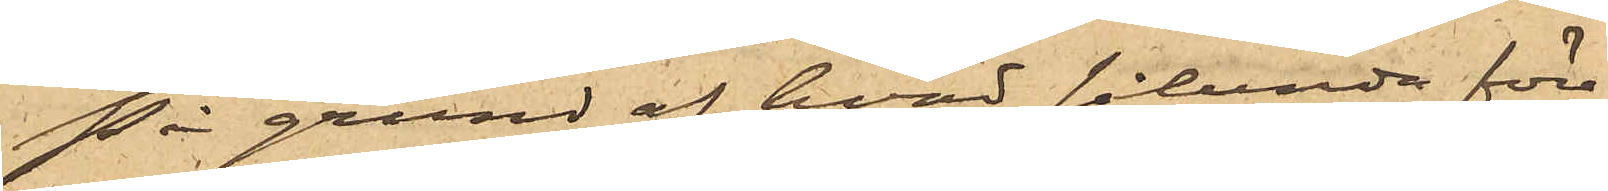På grund af hvad sålunda före¬
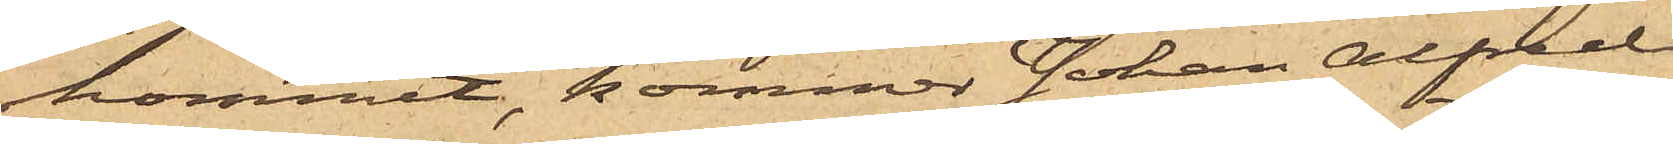kommit, kommer Johan Alfred
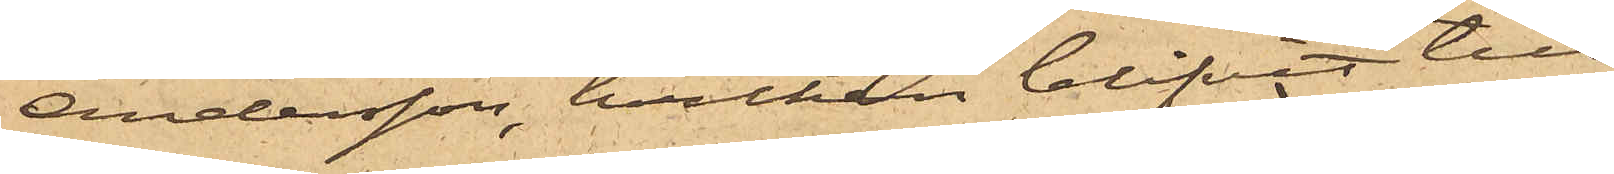Andersson, hvilken blifvit till
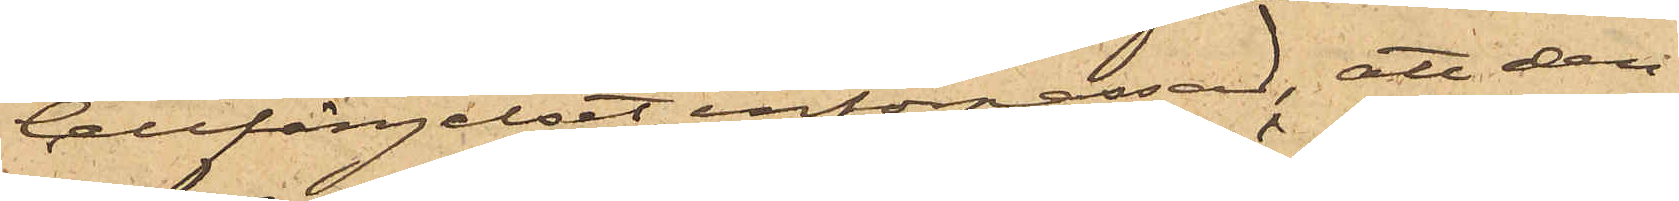Cellfängelset införpassad, att den¬
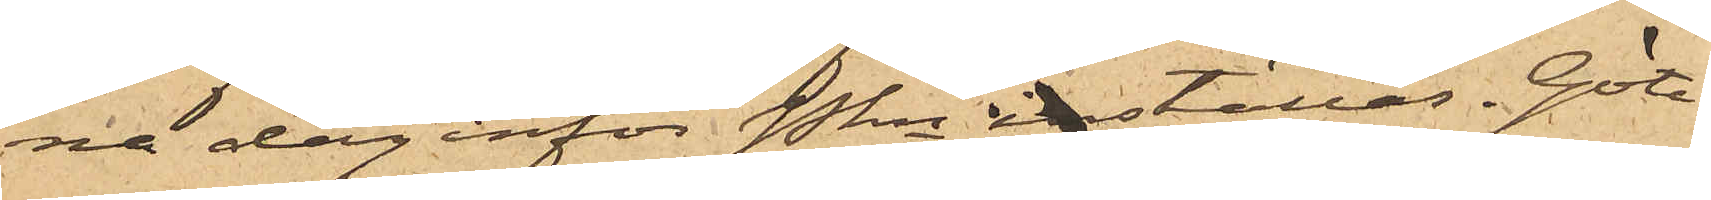na dag inför Pkn inställas. Göte¬
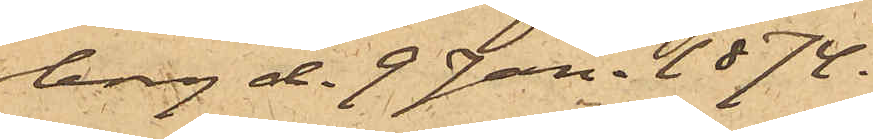borg d. 9 Jan. 1874.
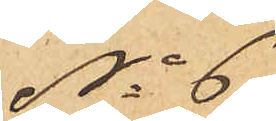No 6
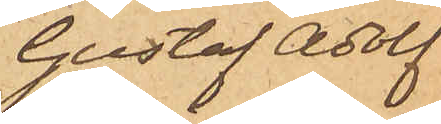Gustaf Adolf
